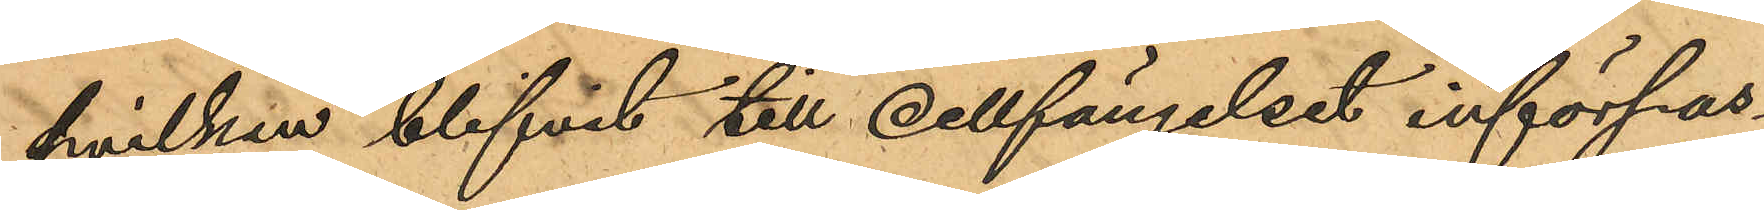hvilken blifvit till cellfängelset införpas¬
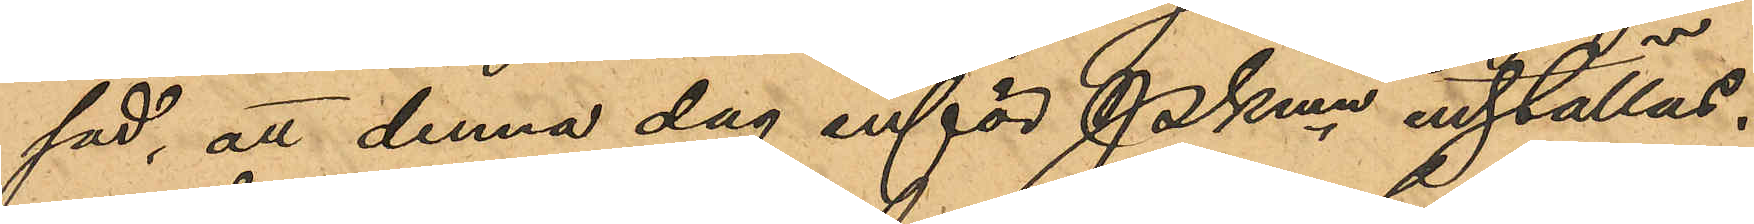sad, att denna dag inför Pkmn inställas.
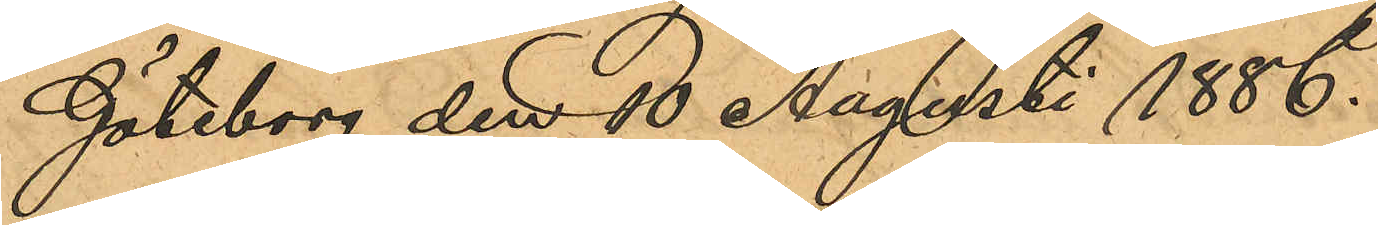Göteborg den 10 Augusti 1886.
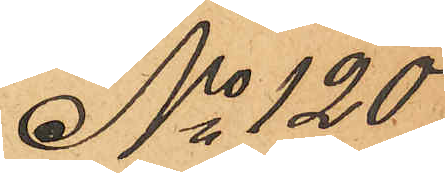No 120
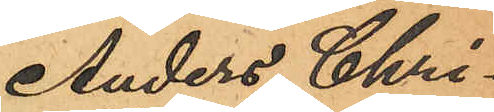Anders Chri¬
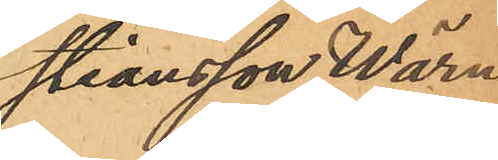stiansson Wärn
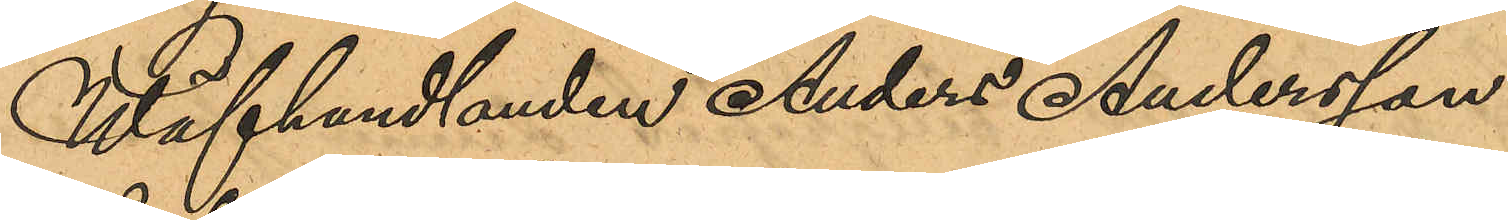Wäfhandlanden Anders Andersson
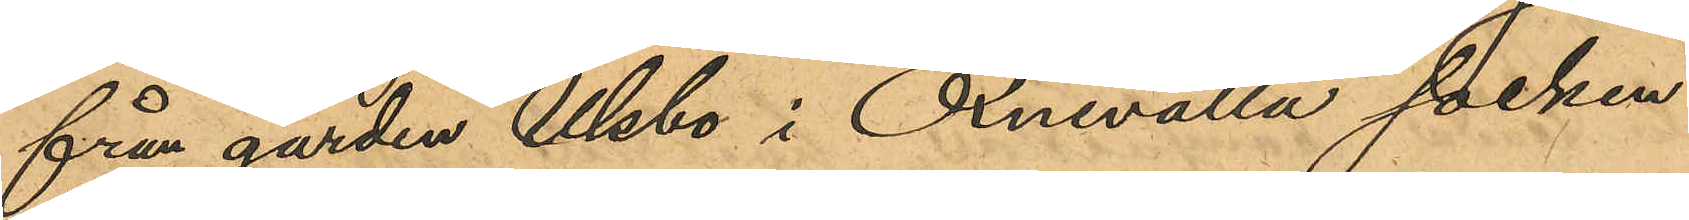från gården Ulsbo i Oxnevalla socken
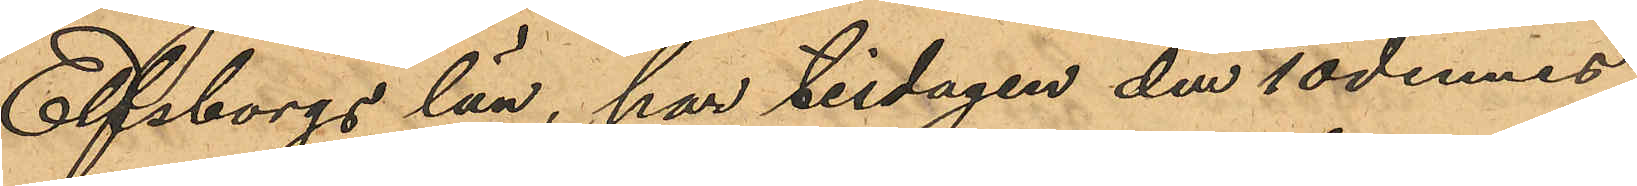Elfsborgs län, har tisdagen den 10 dennes
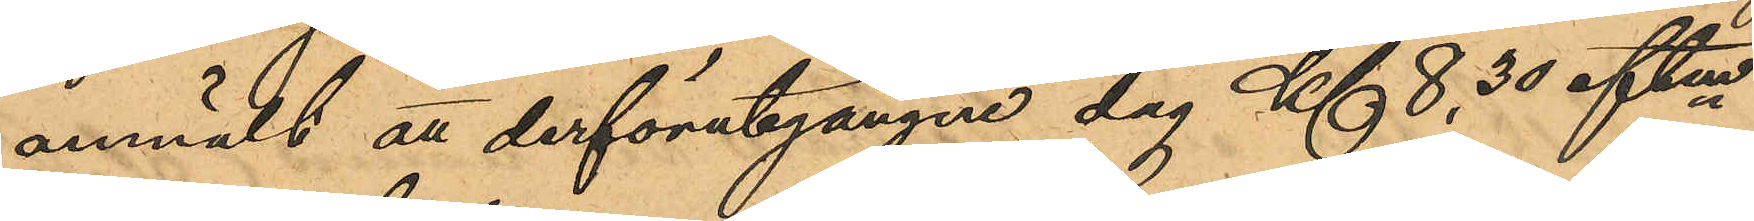anmält att derförutgångne dag Kl 8,30 eftm
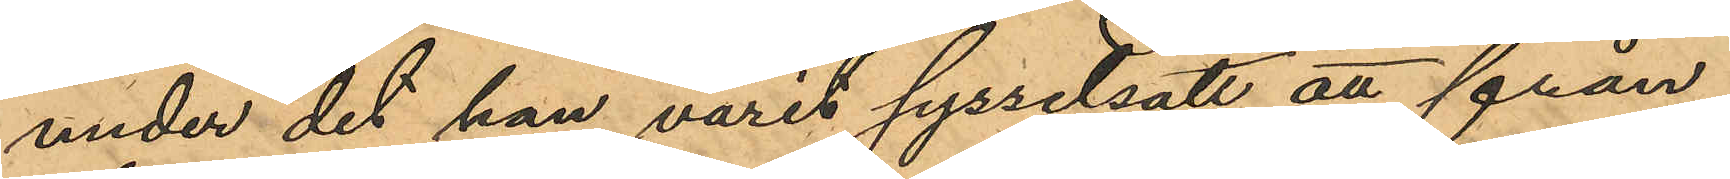under det han varit syssetsatt att från
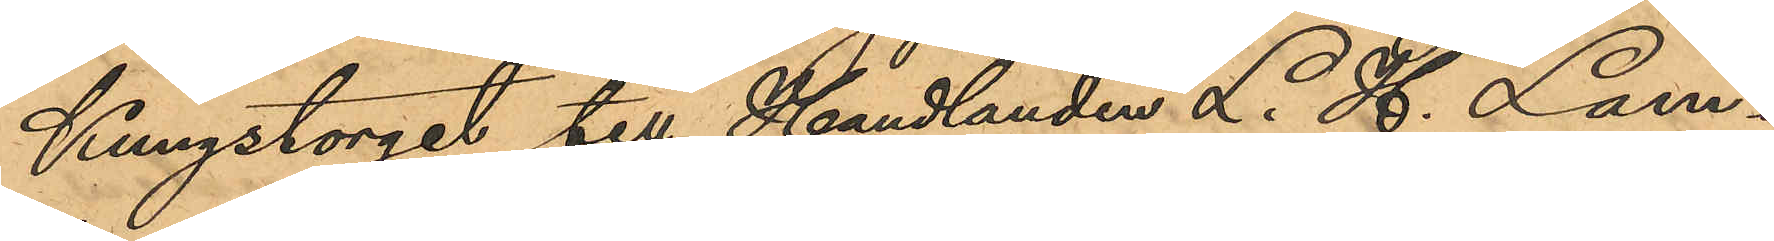Kungstorget till Handlanden L. H. Lam¬
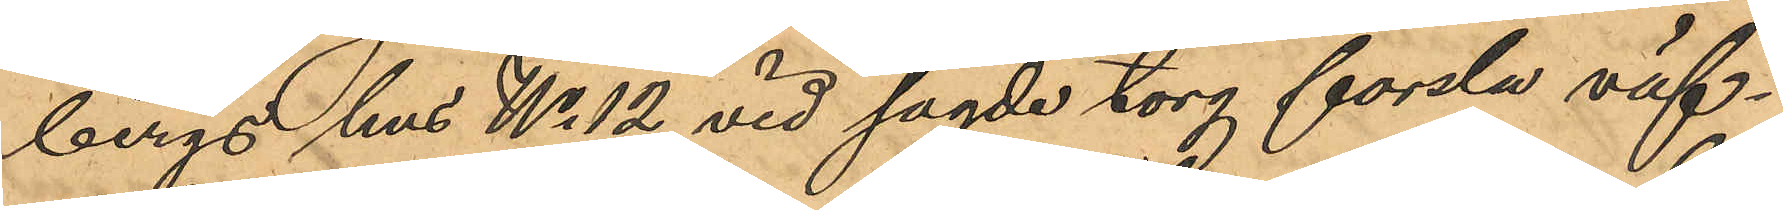bergs hus No 12 vid sagde torg forsla väf¬
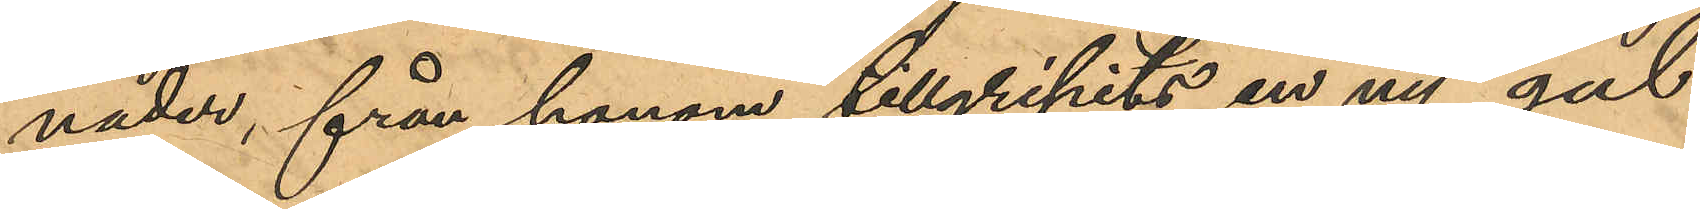nader, från honom tillgripits en ny gul
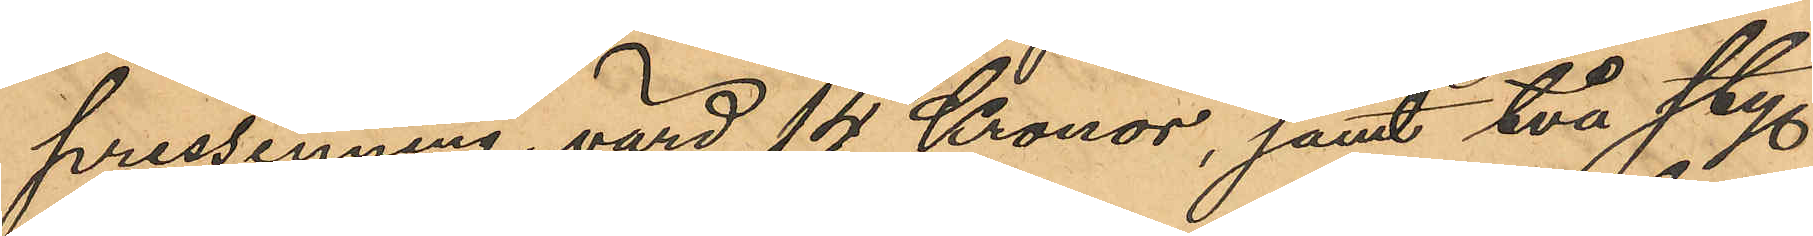pressenning, värd 14 Kronor, samt två sty.
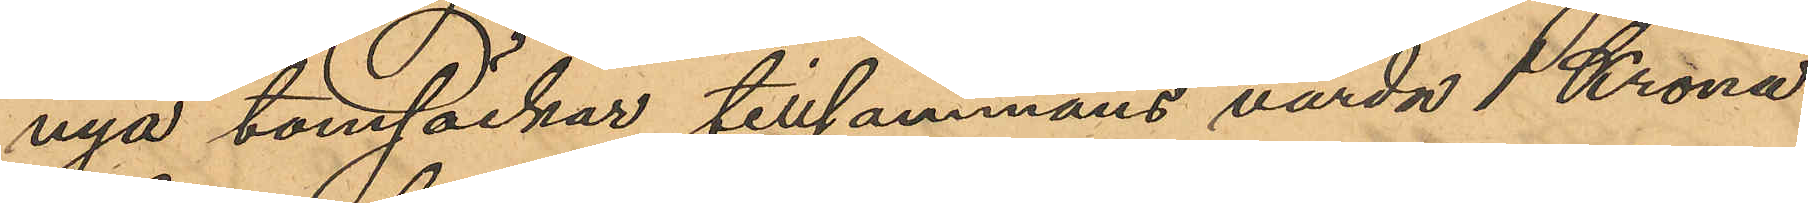nya tomsäckar, tillsammans värda 1 Krona
